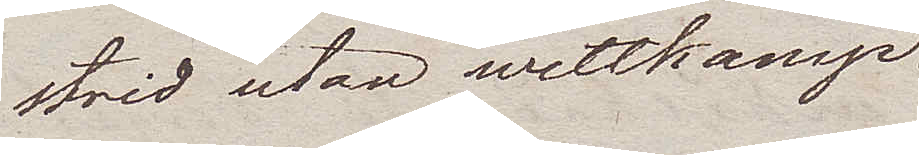strid utan wettkamp.
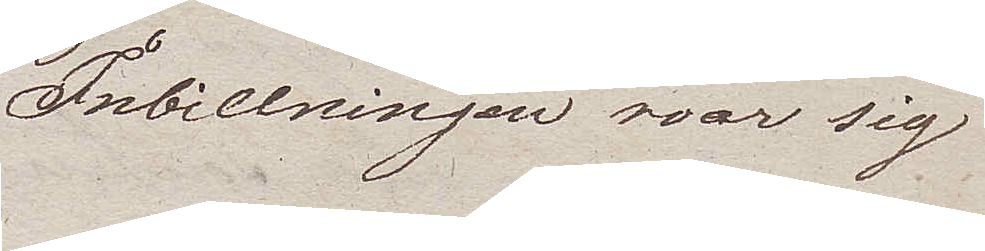Inbillningen roar sig
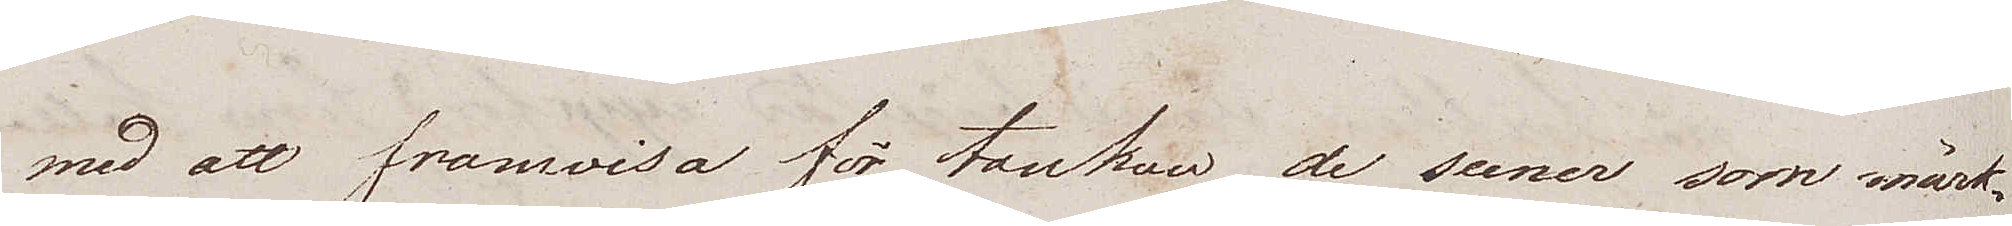med att framvisa för tanken de scener som märk¬
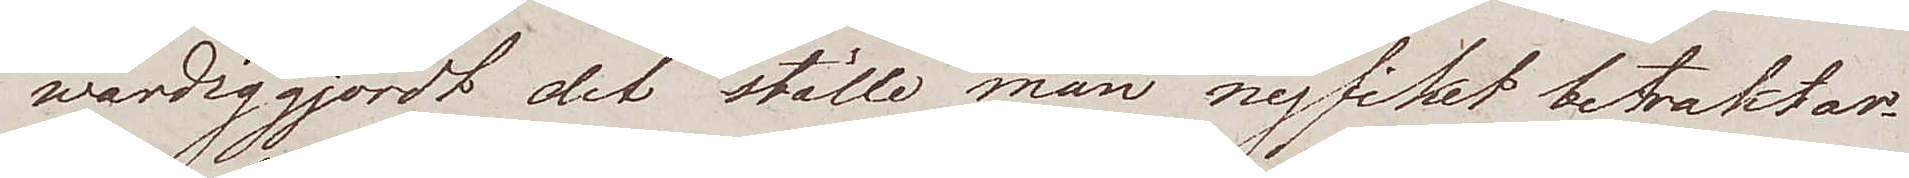wärdiggjort det ställe man nyfiket betraktar.
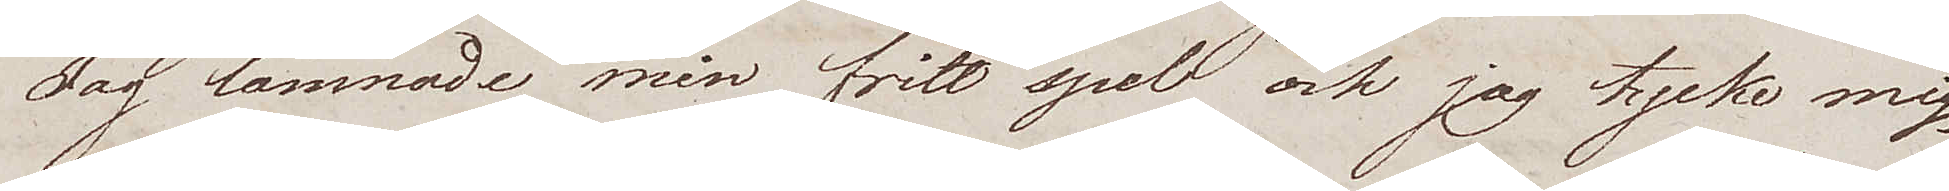Jag lämnade min fritt spel och jag tycke mig
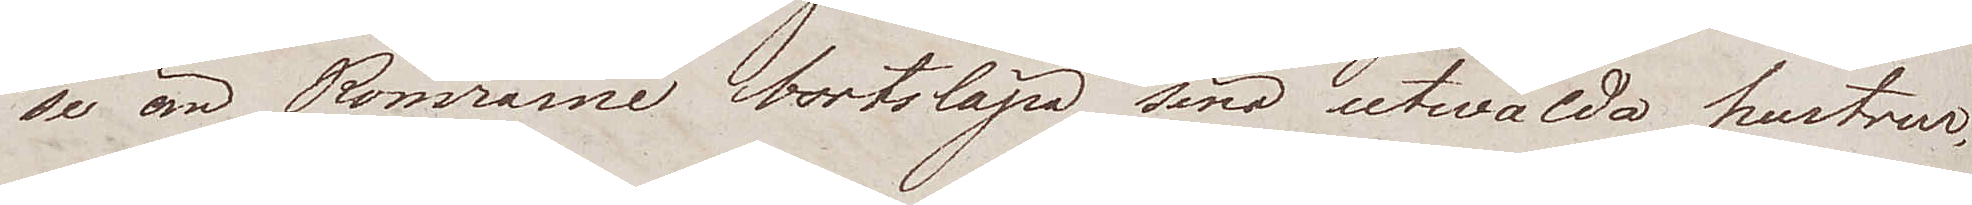se än Romrarne bortsläpa sina utwalda hustrur,
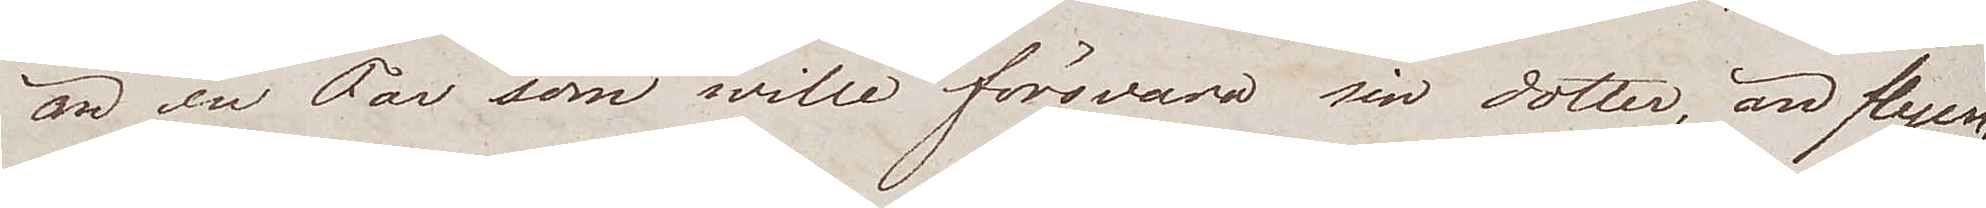än en Far som wille försvara sin dotter, än flyen¬
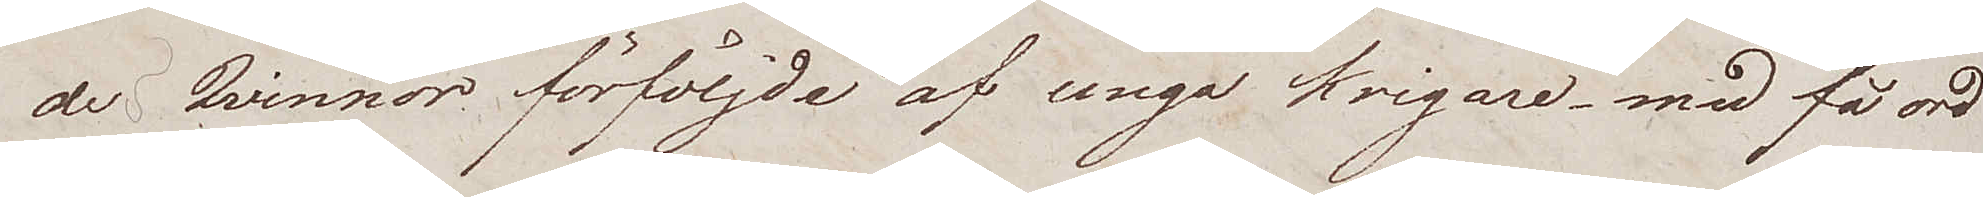de Qvinnor förföljde af unga krigare – med få ord
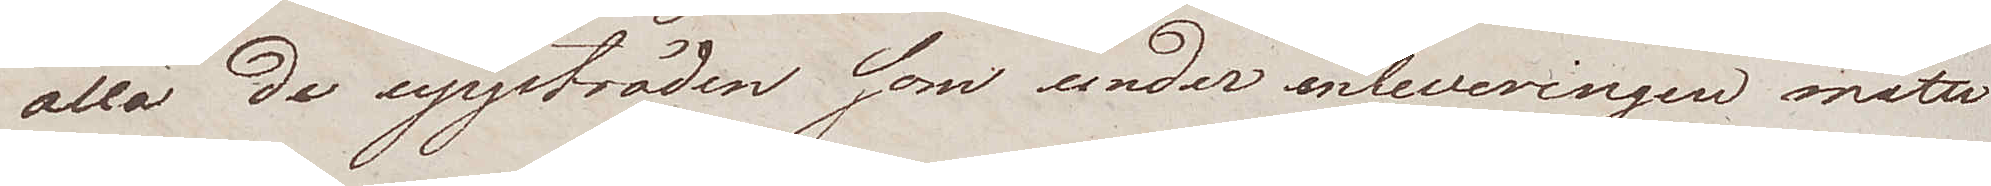alla de uppträden som under enleveringen måtte
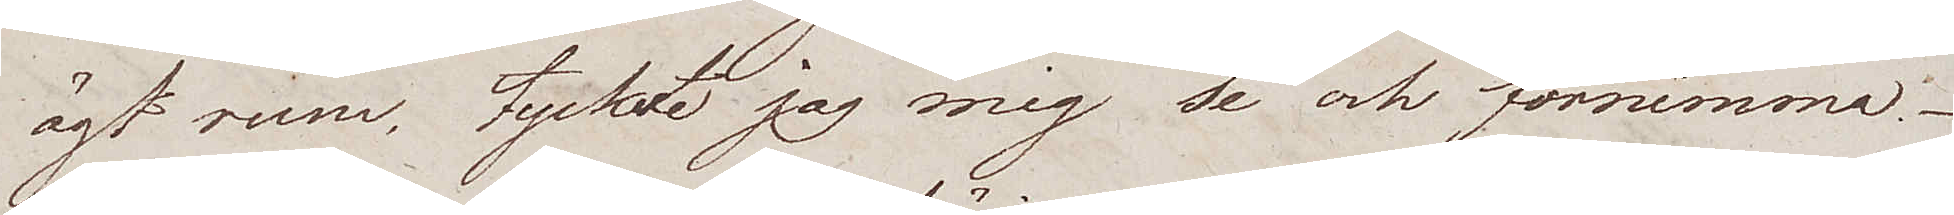ägt rum, tyckte jag mig se och förnimma.
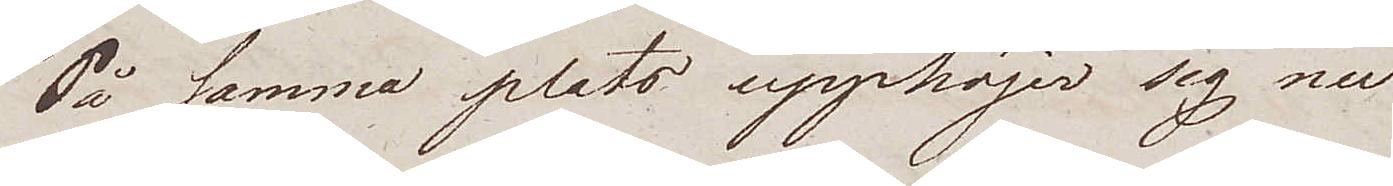På samma plats upphöjer sig nu
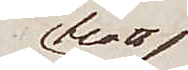blott
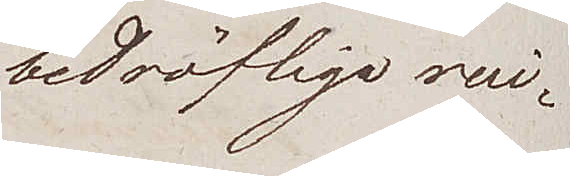bedröfliga rui¬
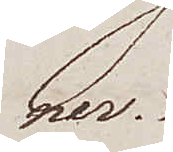ner.
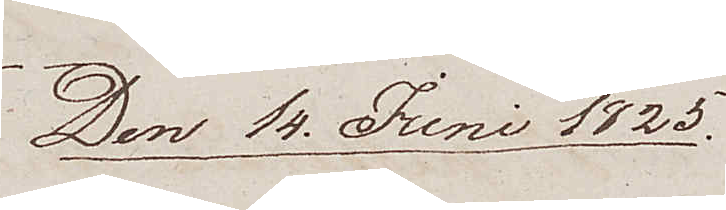Den 14 Juni 1825
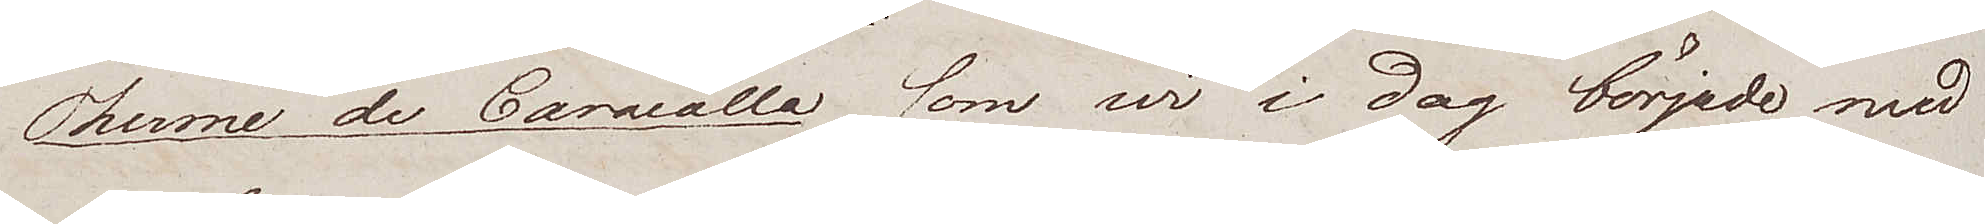Therme de Caracalla som wi i dag började med
